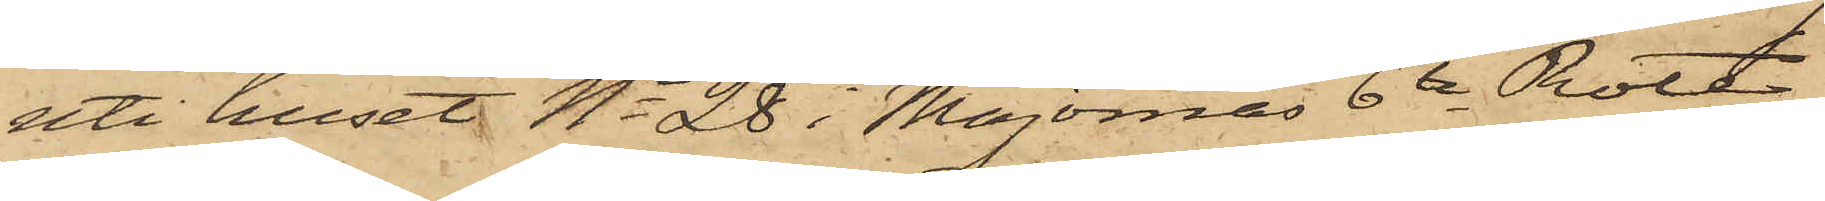uti huset No 28 i Majornas 6te Rote,
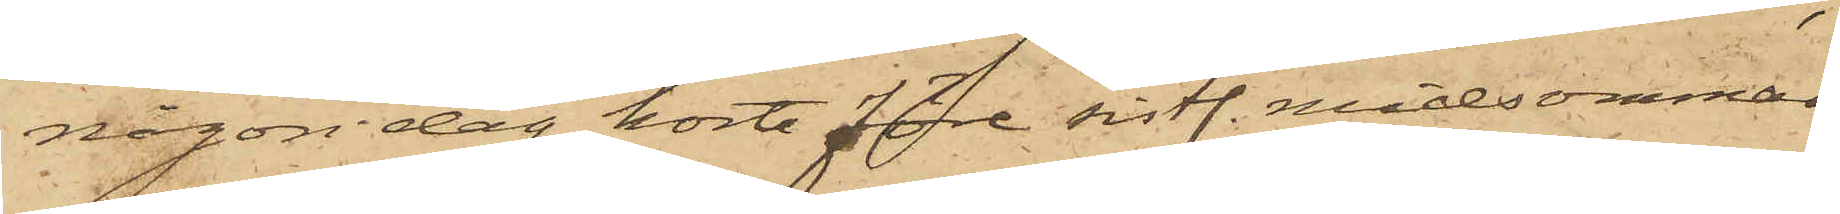någon dag kort före sistl. midsommar
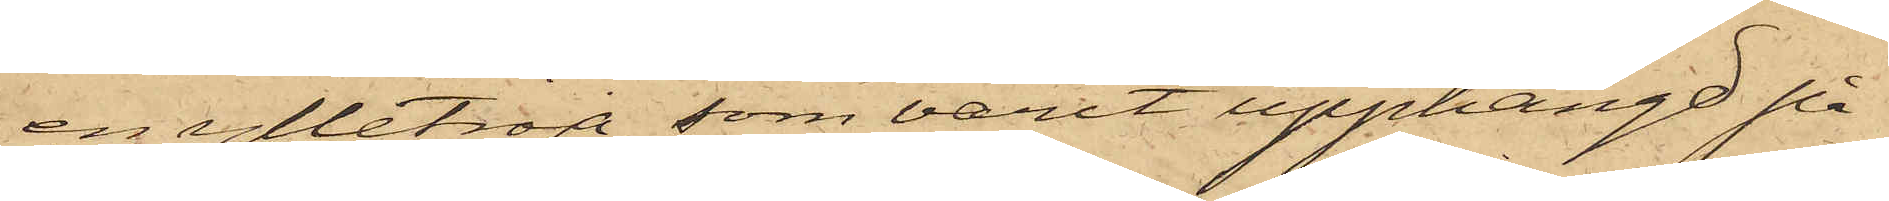en ylletröja, som varit upphängd på
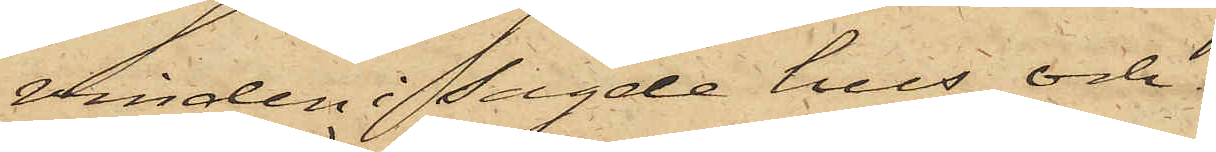vinden i sagde hus och
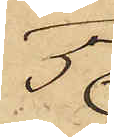5o
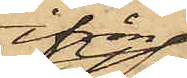ifrån
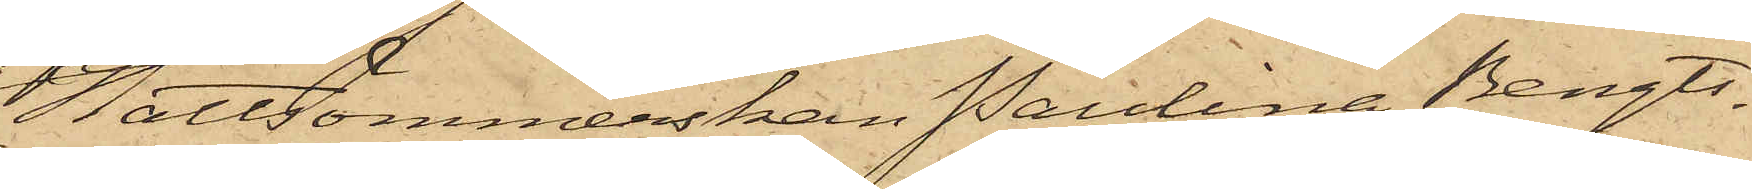Hattsömmerskan Paulina Bengts¬
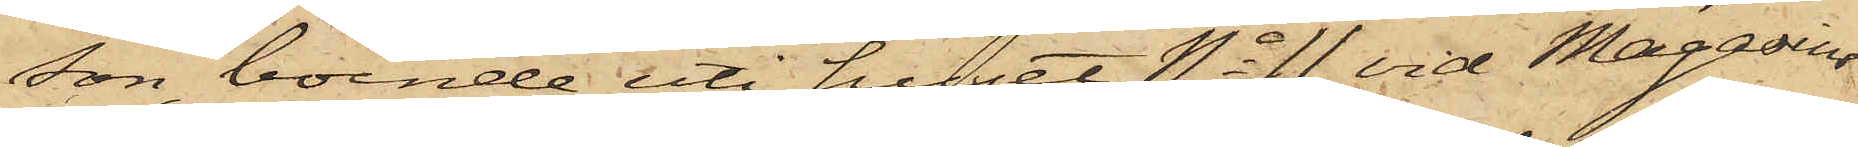son, boende uti huset No 11 vid Magasins¬
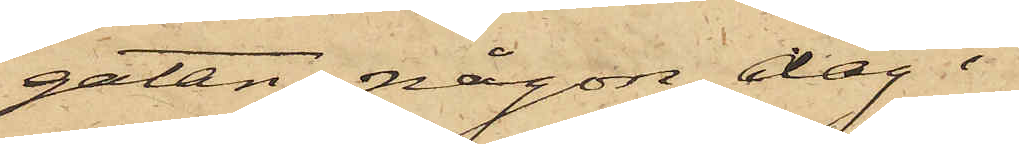gatan någon dag i
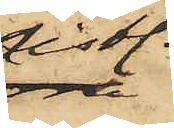sistl.
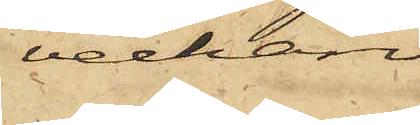veckan
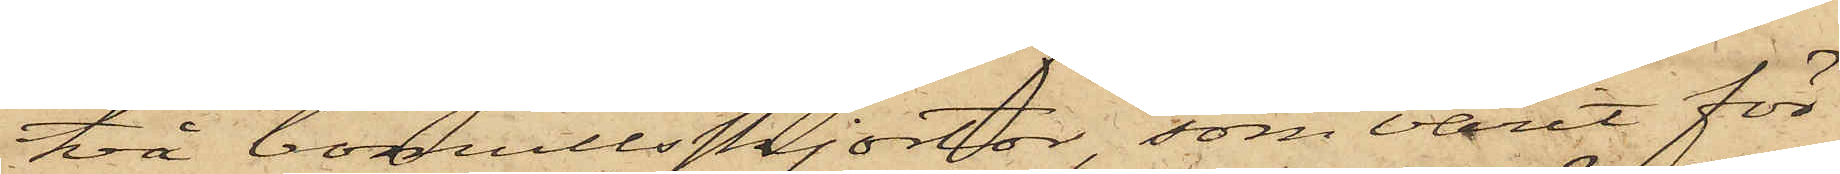två bomullsskjortor, som varit för¬
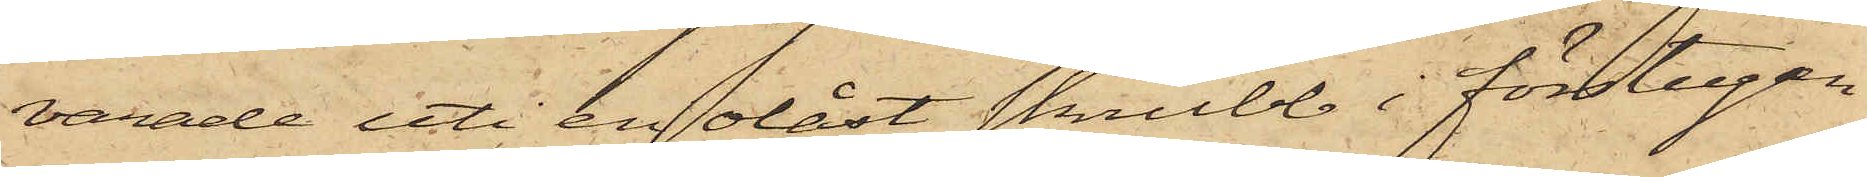varade uti en olåst skrubb i förstugan
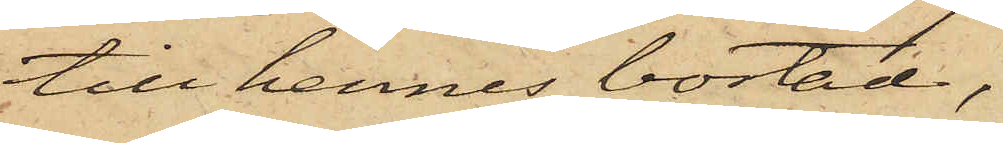till hennes bostad,
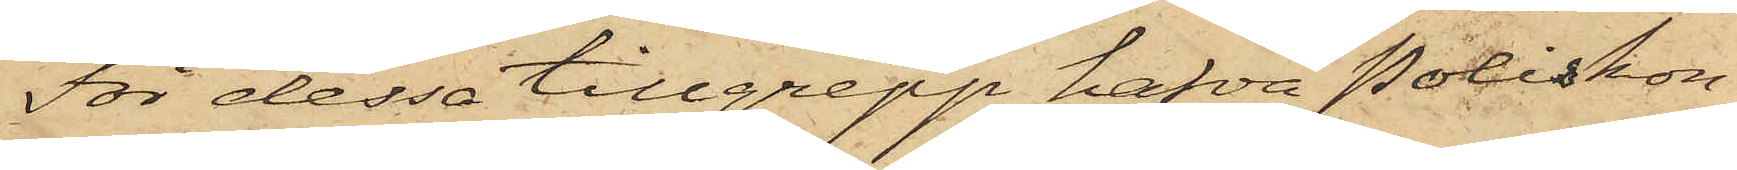För dessa tillgrepp hafva Poliskon¬
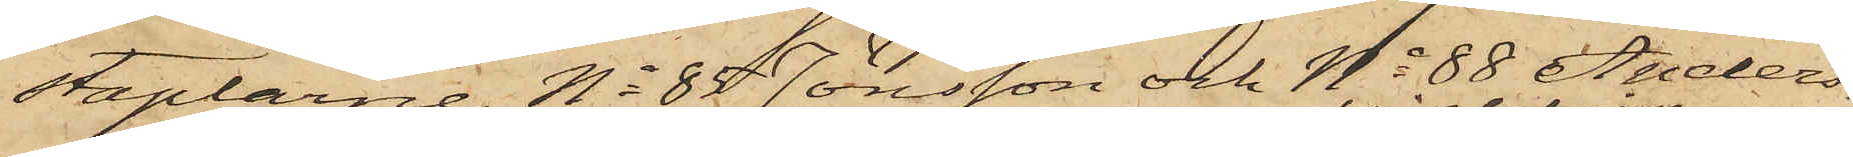staplarne No 85 Jönsson och No 88 Anders¬
